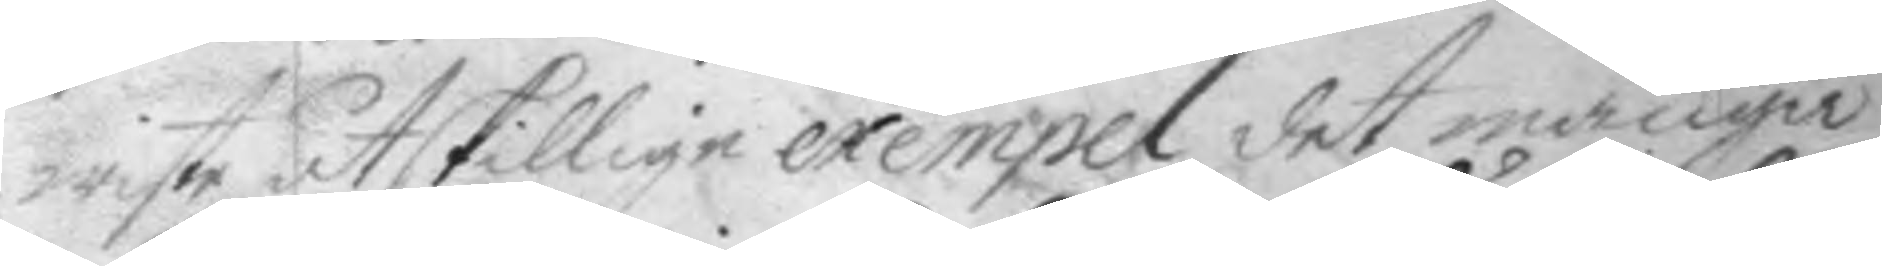wiste åtskillige exempel det många
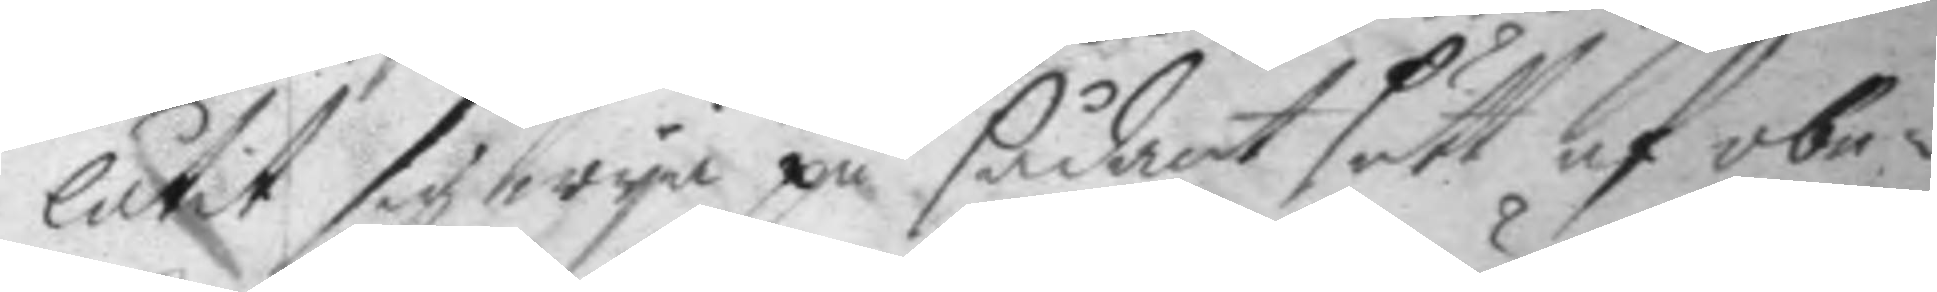låtit sig wya på sådant sätt af obe¬
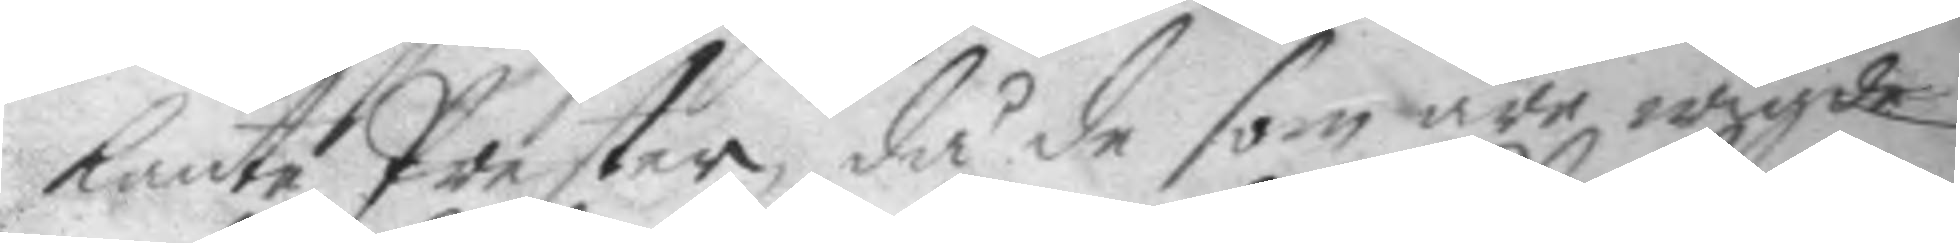kante Prester, då de som äre wigde
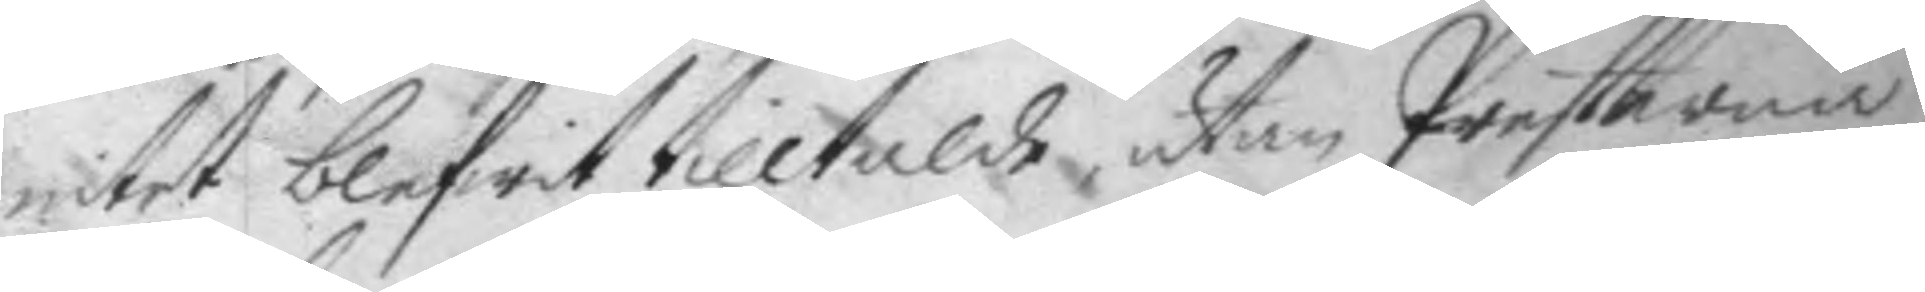intet blifwit tilltalde, utan Presterna
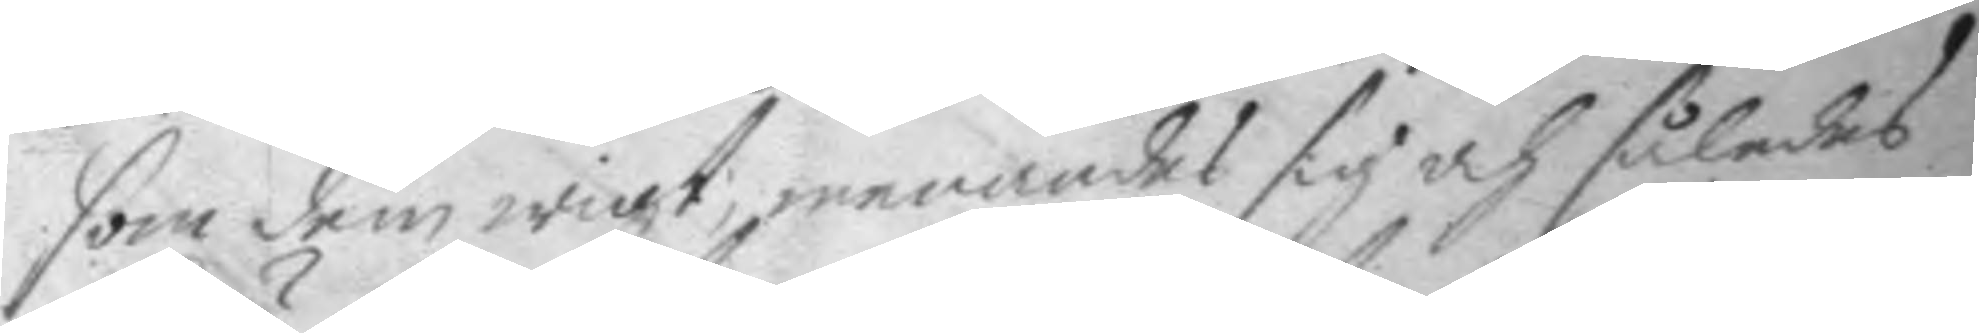som dem wigt, menandes sig och således
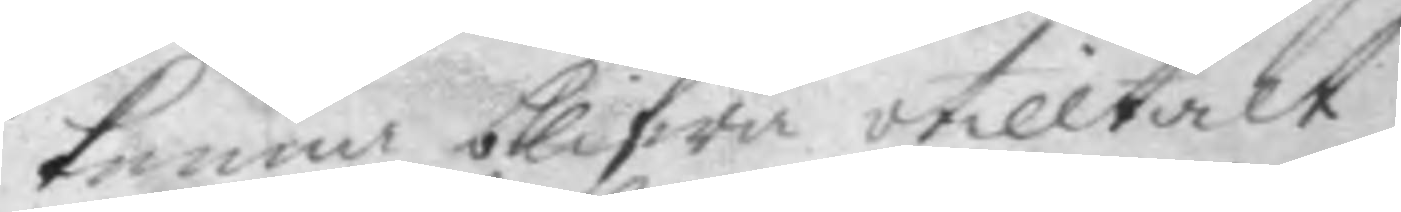kunna blifwa otilltalt.
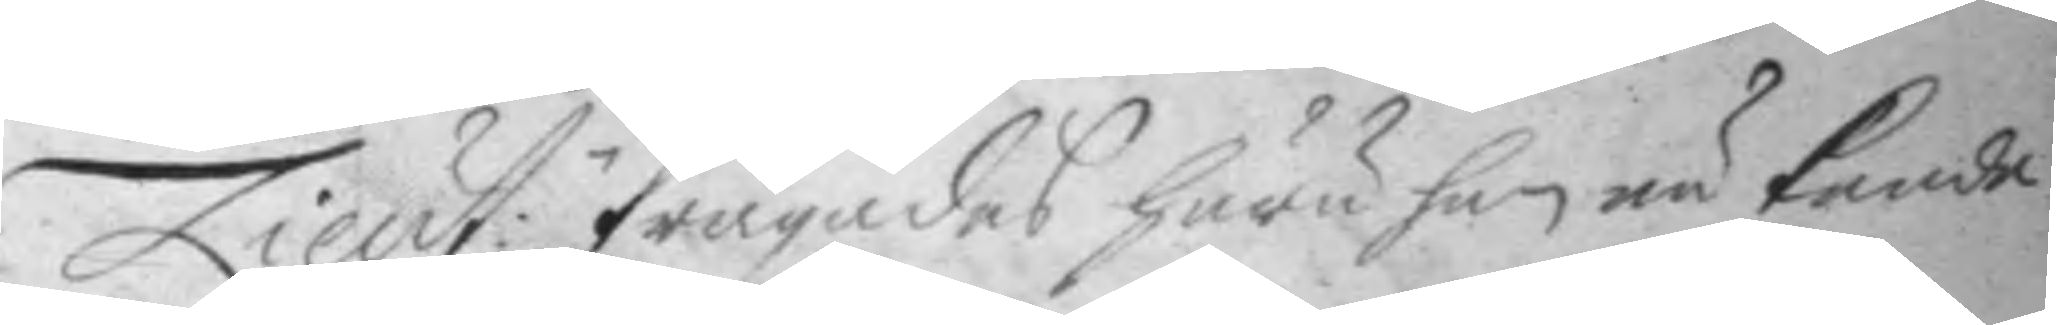Lieut:n frågades huru han nu kunde
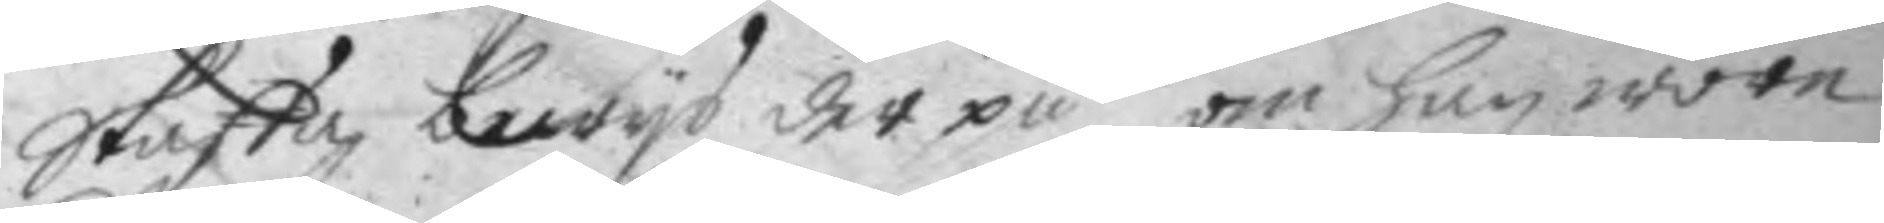Skaffa bewys der på, om han wore
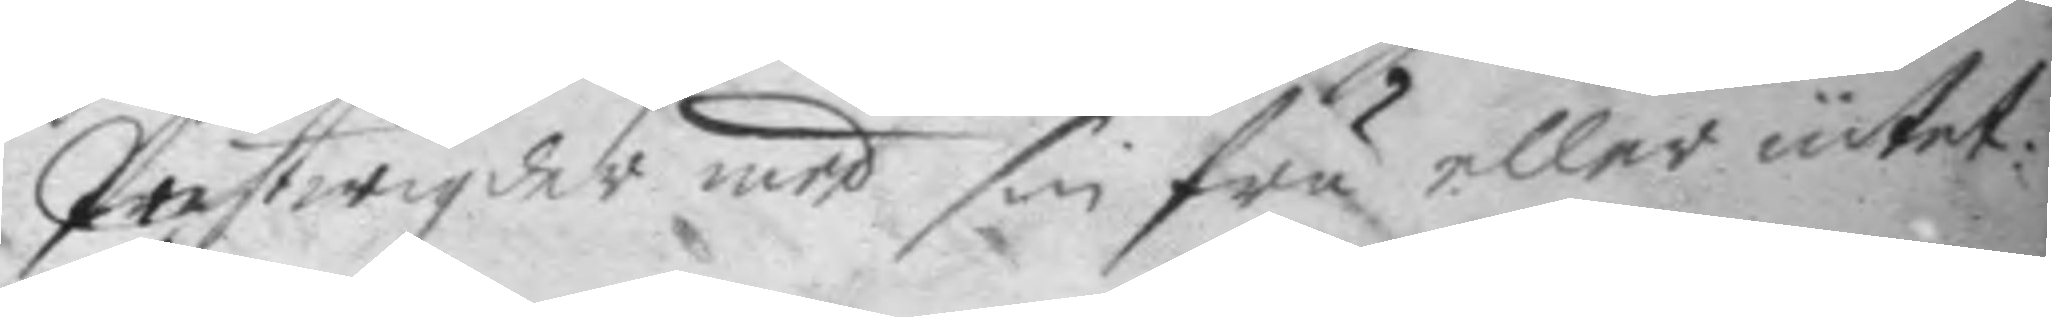Prestwigder med sin fru eller intet:
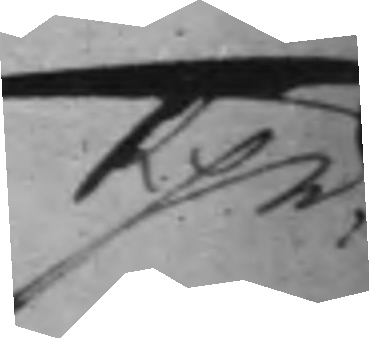Rpn;
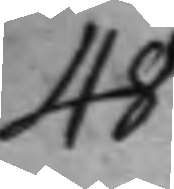48.
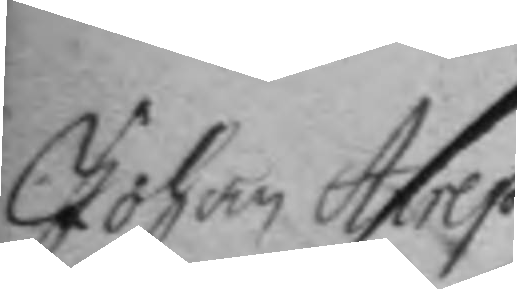Johan Anrep
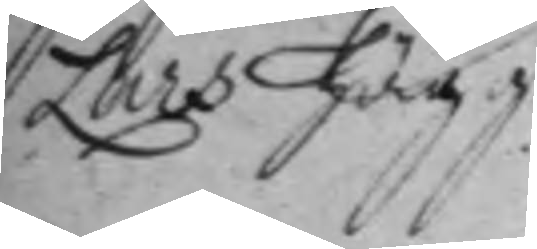Lars Hägg	
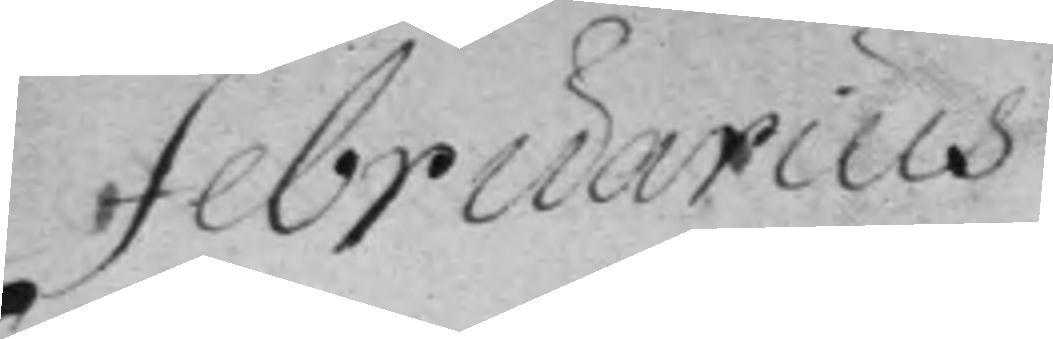Februarius
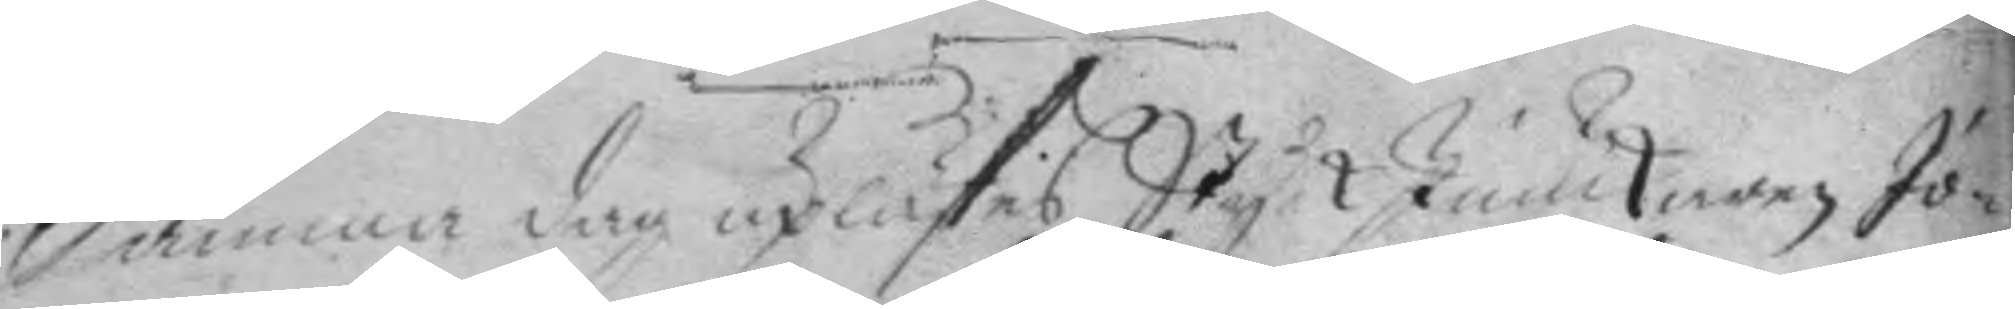Samma dag uplästes Styck Junckaren Jo¬
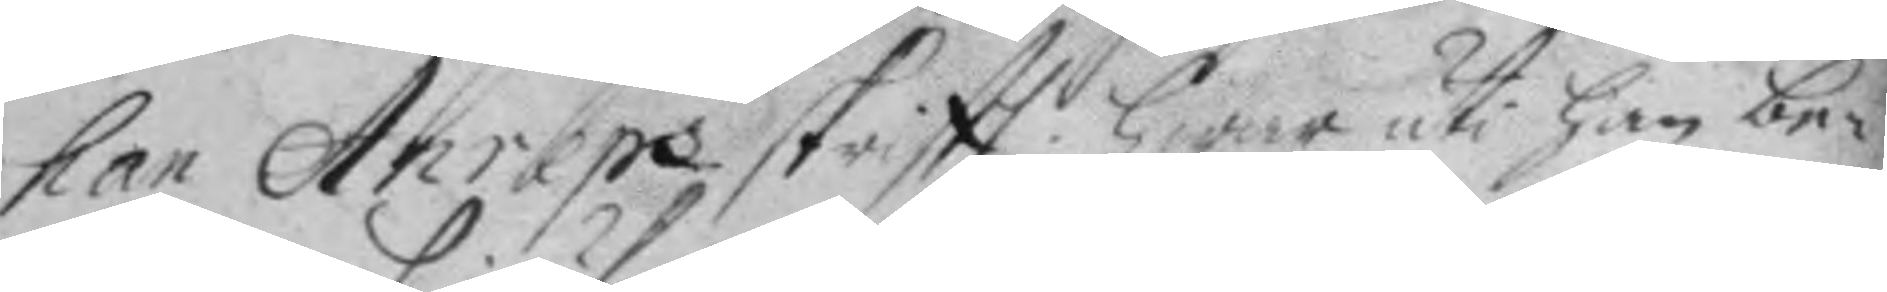han Anreps skriftt; hwar uti han be¬
